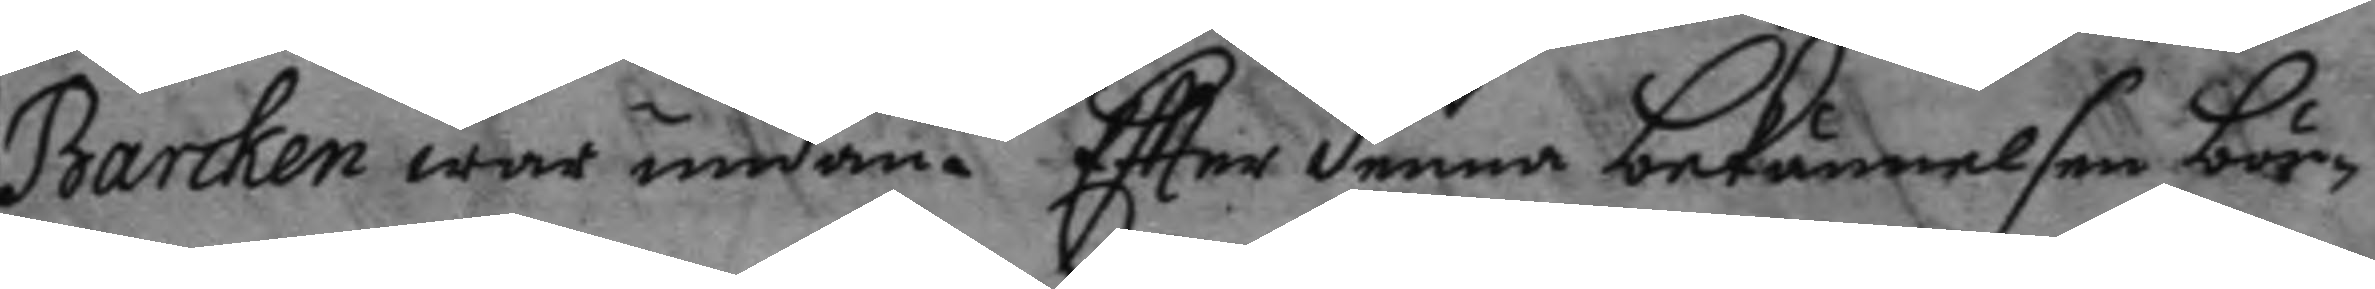Barcken war undan. Efter denna bekännelsen bör¬
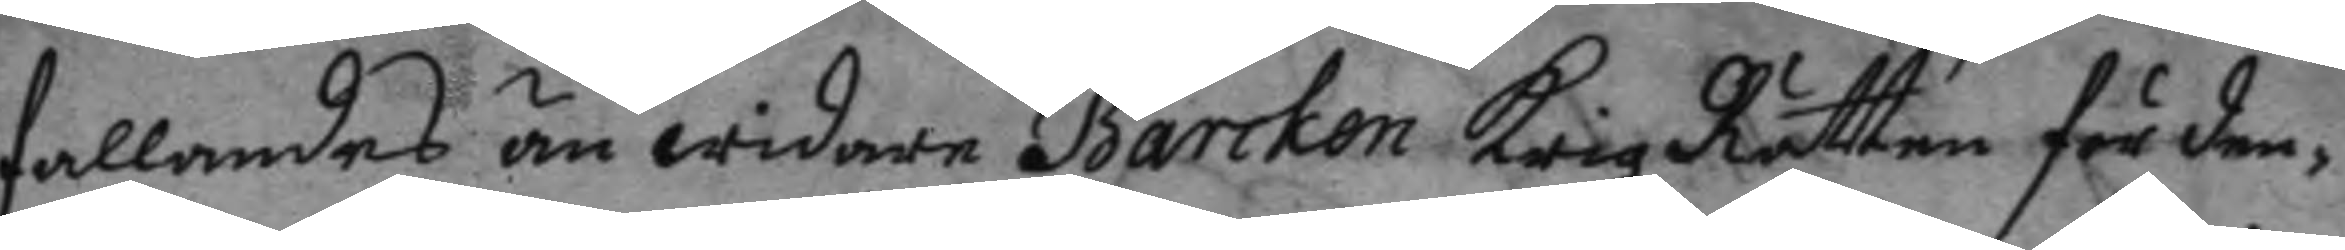fallandes än widare Barcken Krigz Rätten för den¬
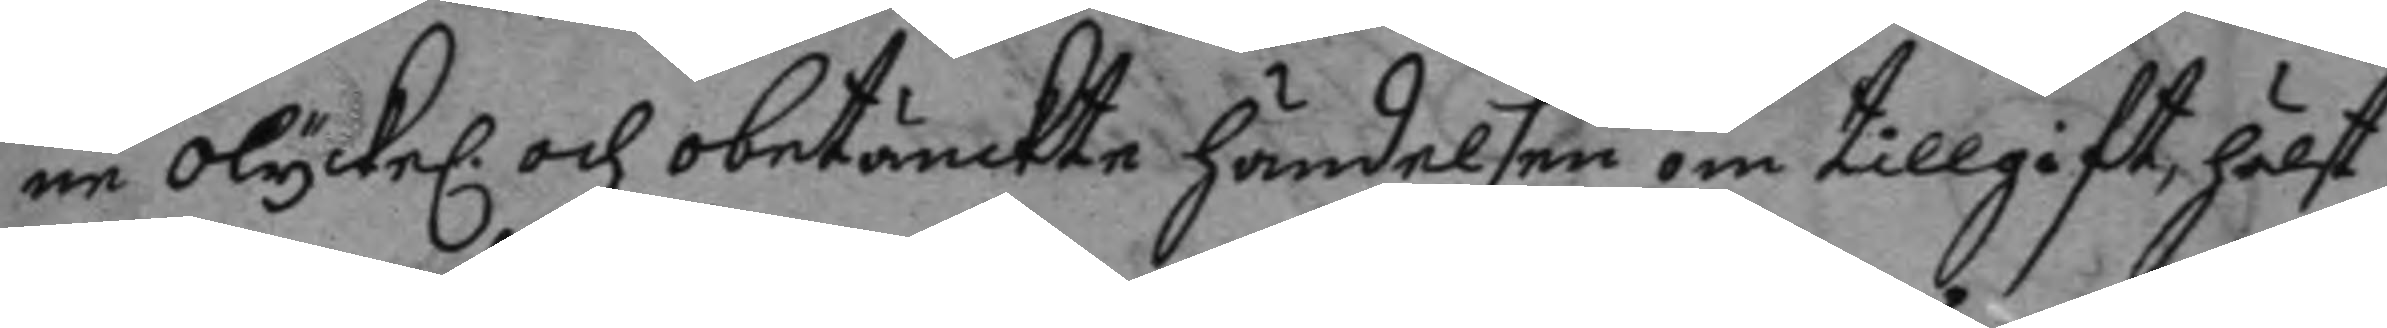ne olyckel. och obetämckte händelsen om tillgift, hälst
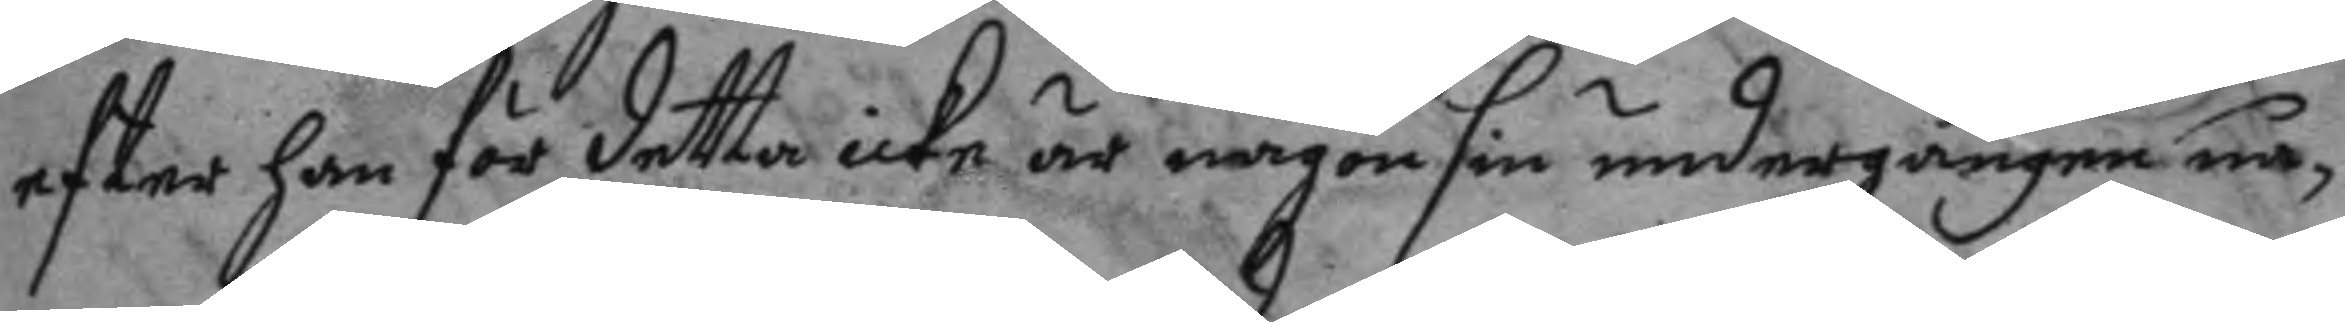efter han för detta icke är någonsin undergången nå¬
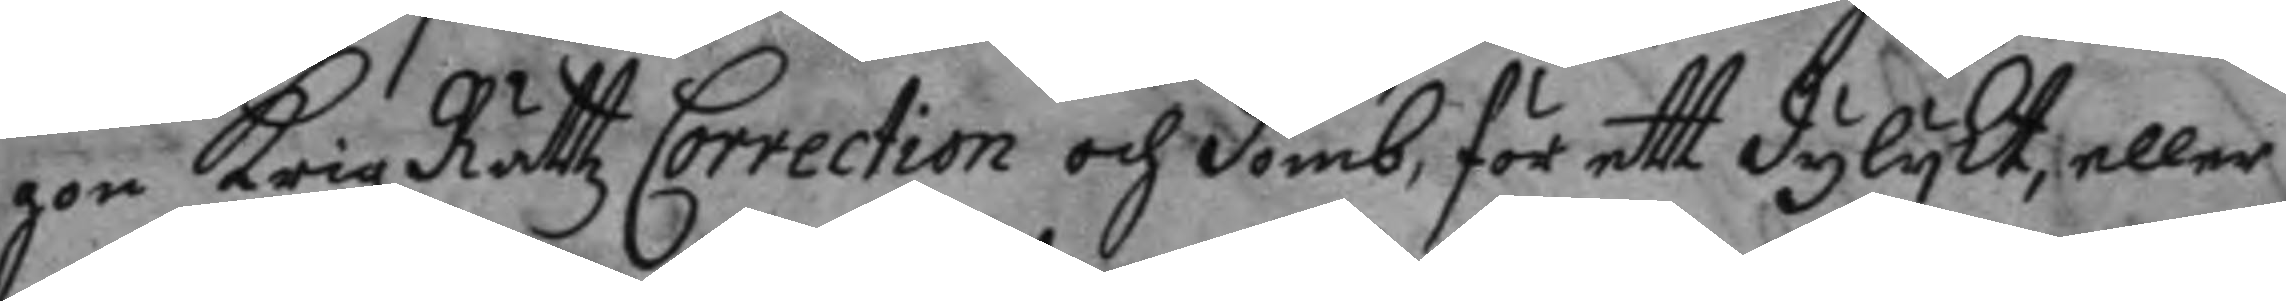gon Krigz Rättz Correction och domb, för ett dylykt, eller
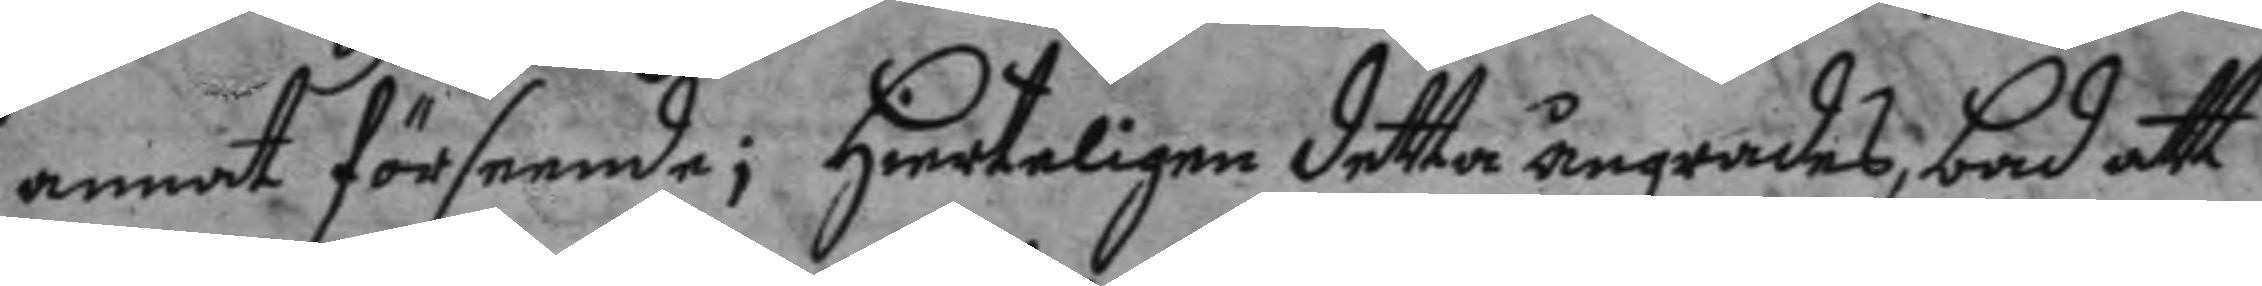annat förseende; hierteligen detta ångrades, bad att
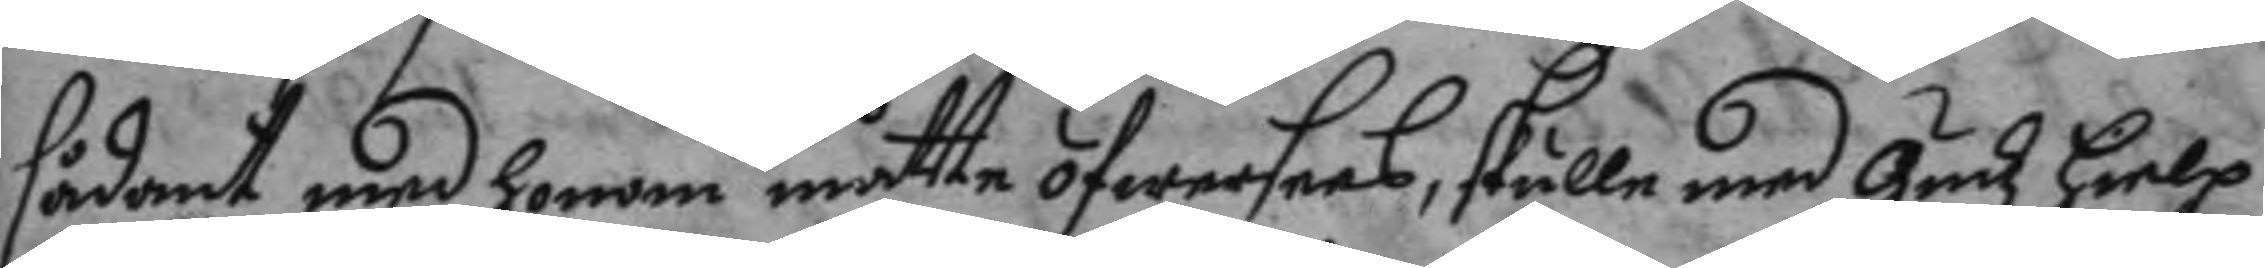sådant med honom måtte öfwersees, skulle med gudz hielp
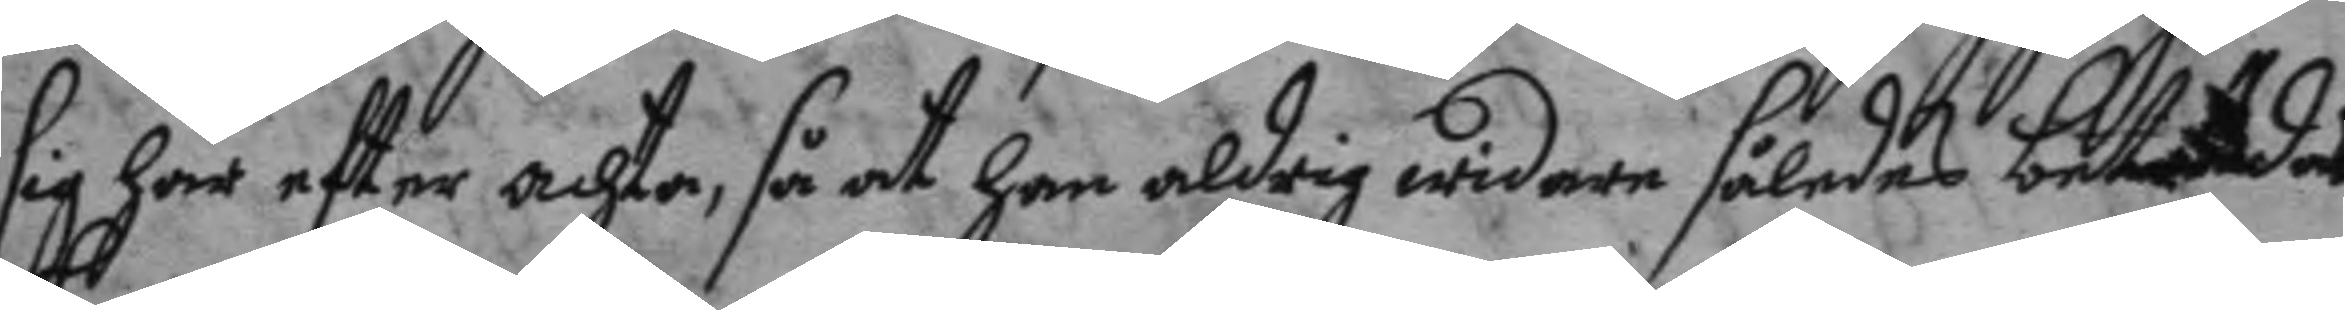sig här efter achta, så at han aldrig widare således betdes
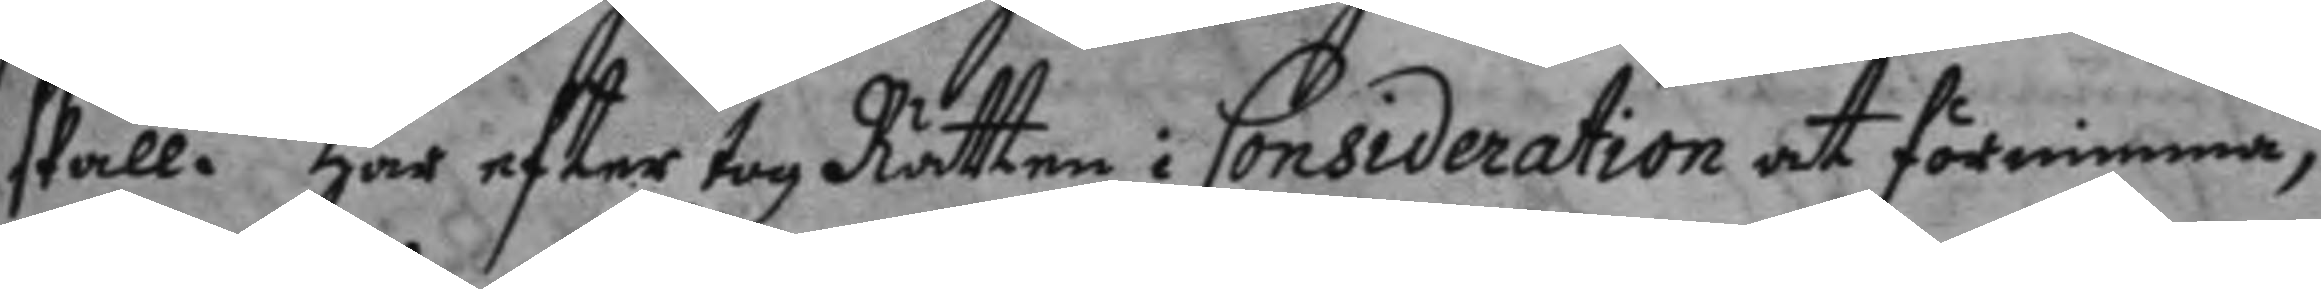skall. Här efter tog Rätten i Consideration at förnimma,
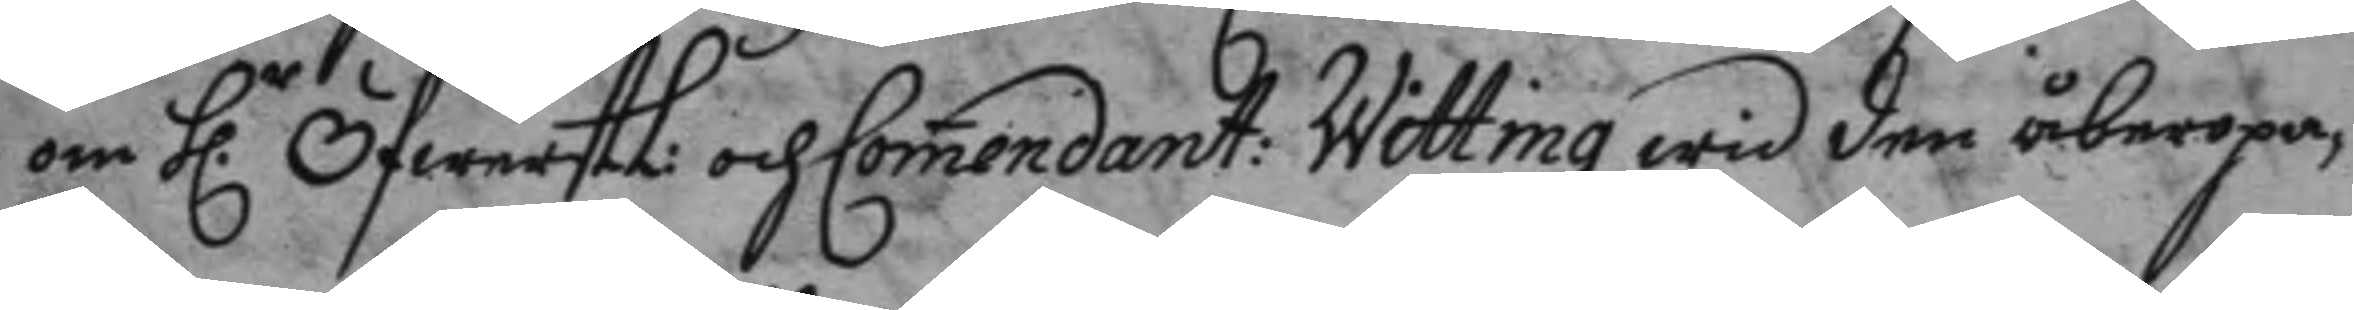om h.r ÖfwerstL: och Comendant: Witting wid den åberopa¬
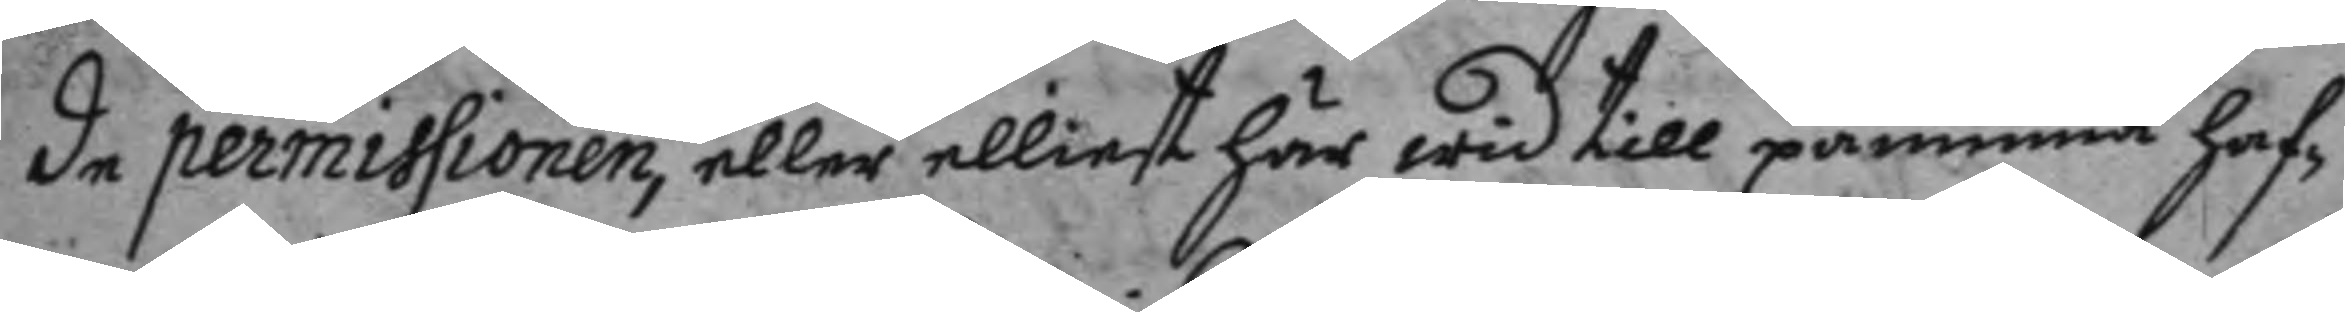de permissionen, eller elliest här wid till påminna haf¬
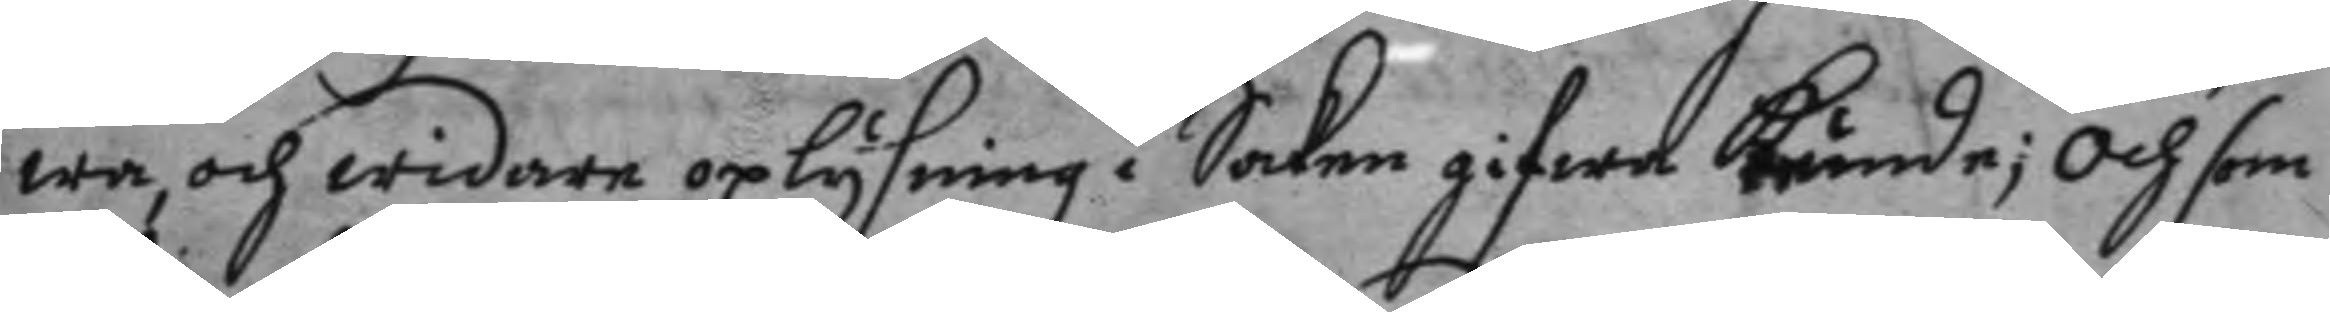wa, och widare oplysning i Saken gifwa kunde; och som
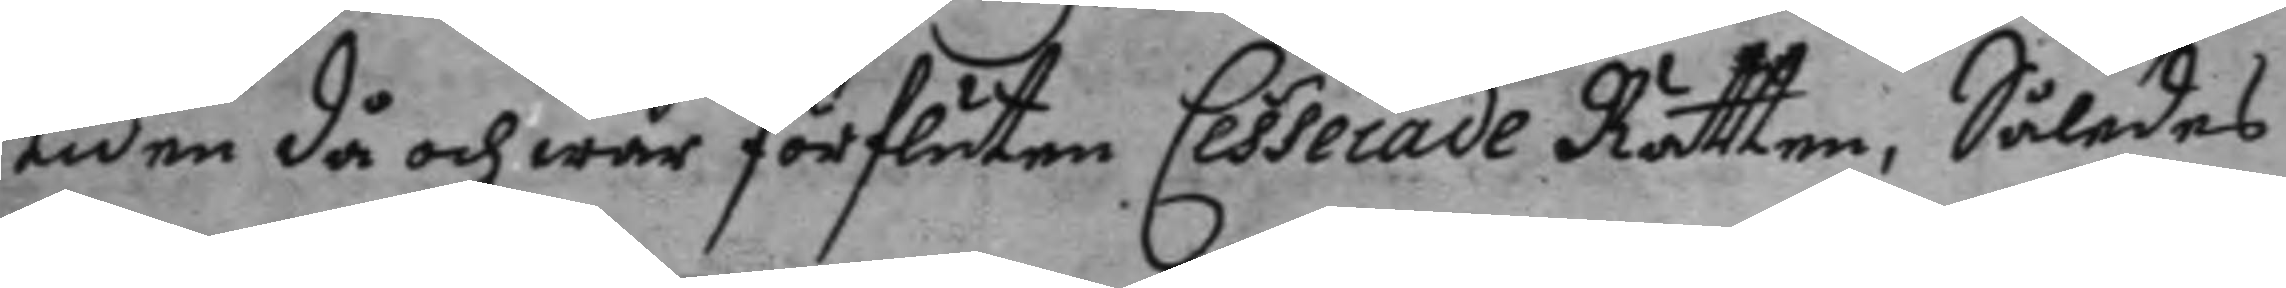tiden då och war förfluten Cesserade Rätten, Således
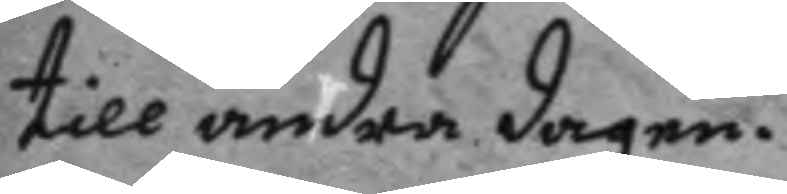till andra dagen.
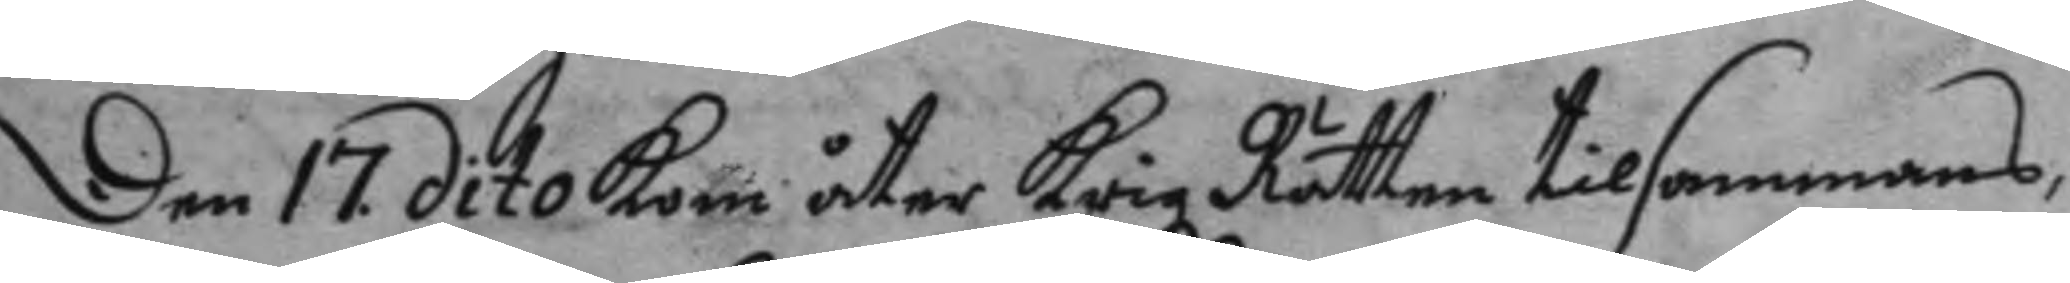Den 17. dito kom åter Krigz Rätten tilsammans,
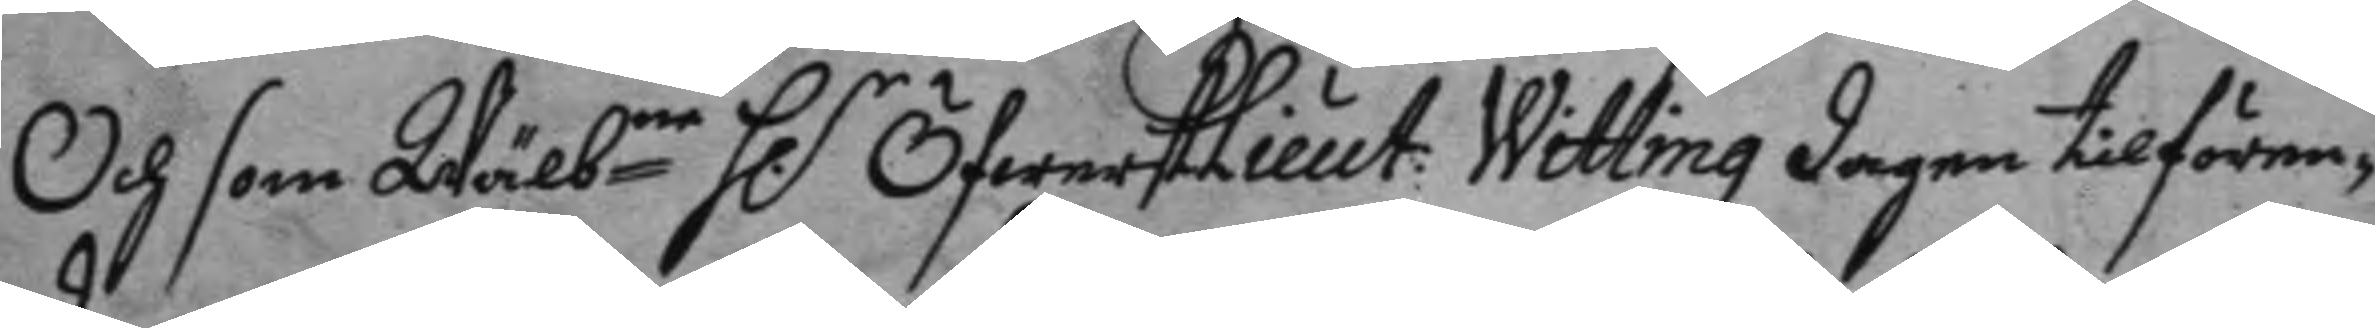Och som Wälbne h.r ÖfwerstLieut: Witting dagen tilfören¬
